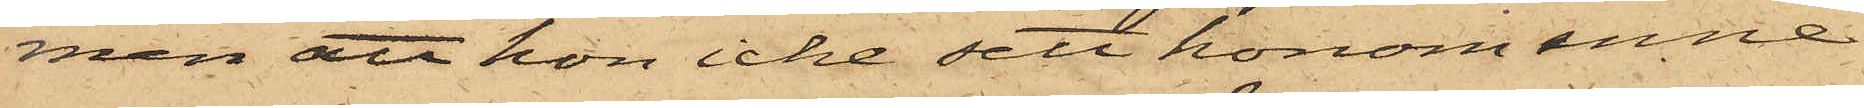men att hon icke sett honom inne¬
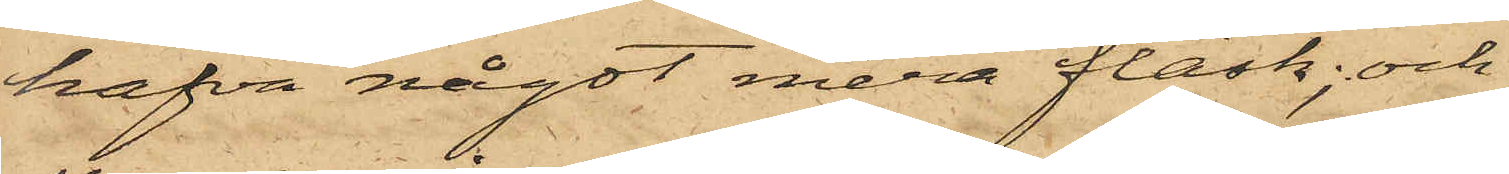hafva något mera fläsk; och
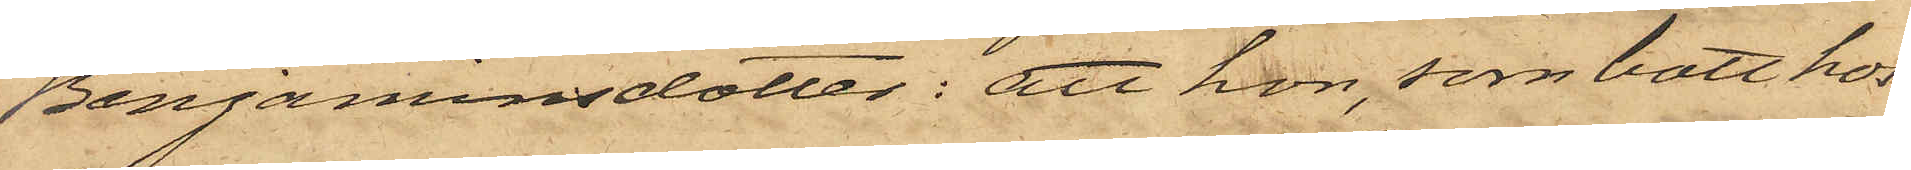Benjaminsdotter; att hon, som bott hos
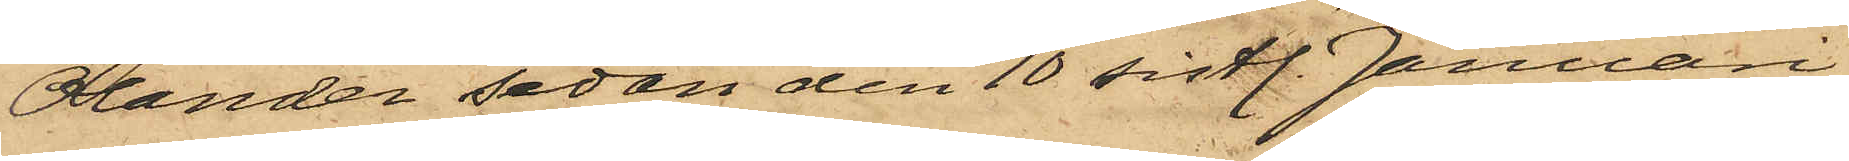Olander sedan den 10 sistl. Januari,
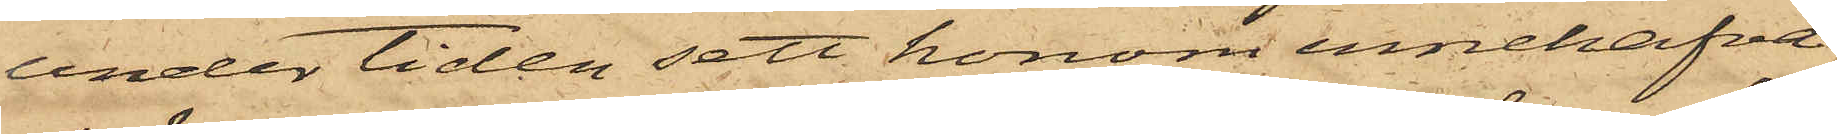under tiden sett honom innehafva
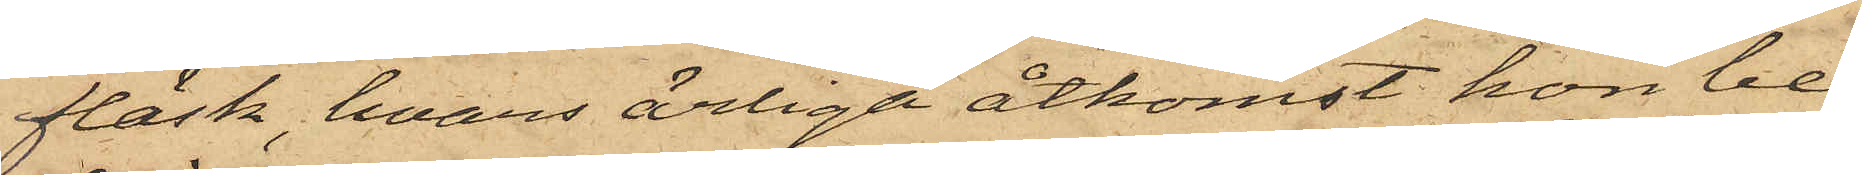fläsk, hvars ärliga åtkomst hon be¬
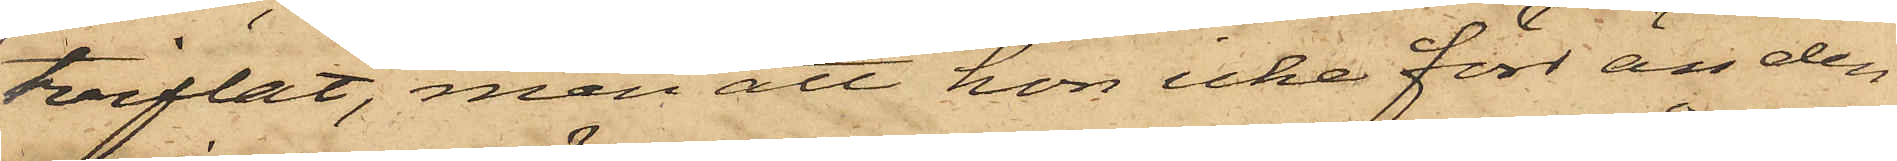tviflat, men att hon icke förr än den
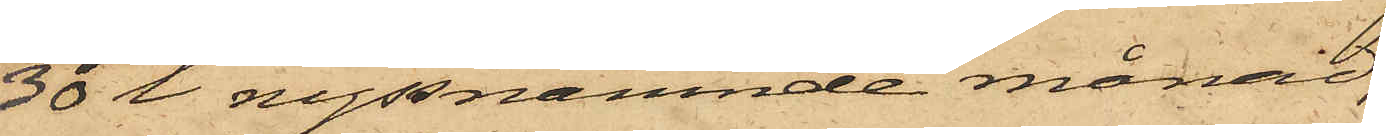30 i nyssnämnde månad,
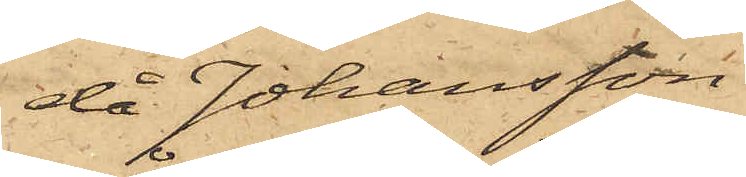då Johansson
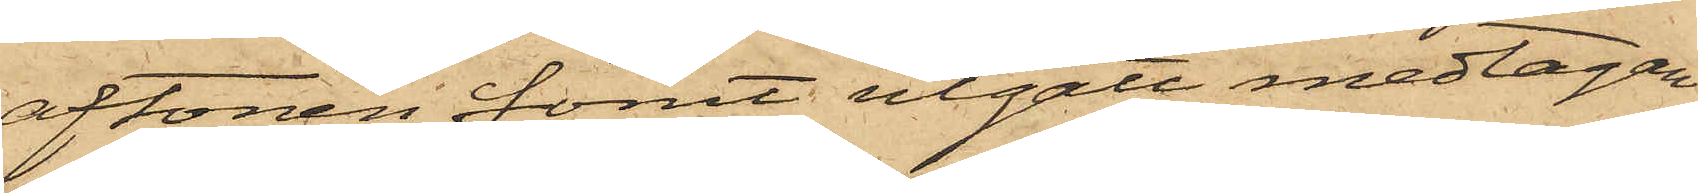aftonen förut utgått medtagan¬
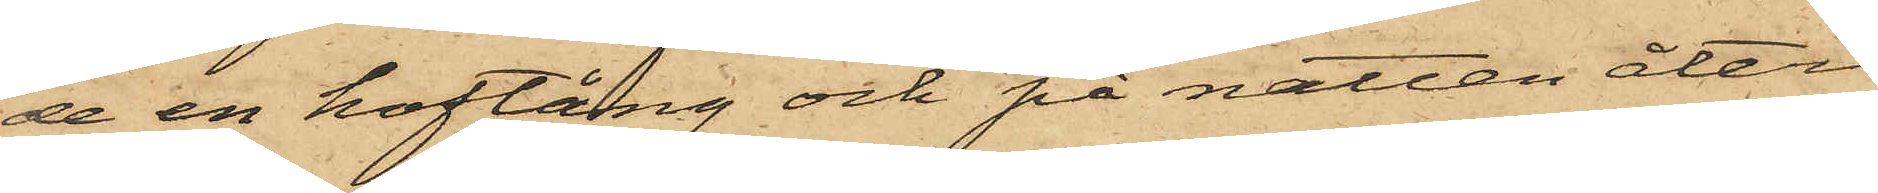de en hoftång och på natten åter¬
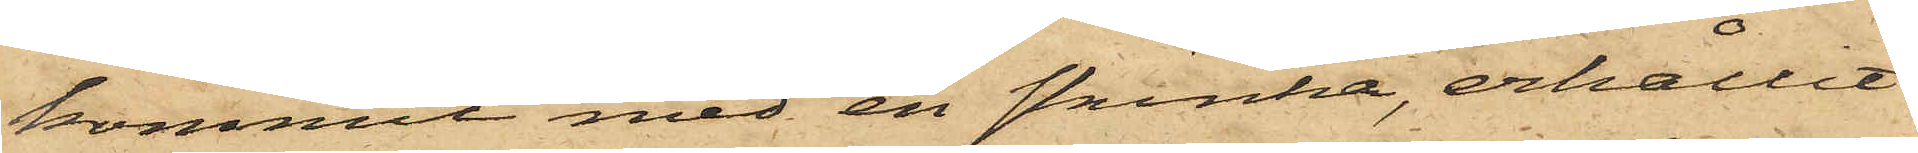kommit med en skinka, erhållit
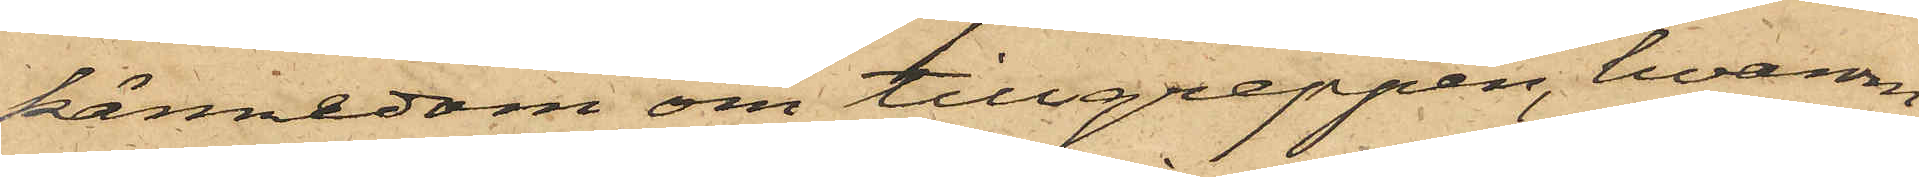kännedom om tillgreppen, hvarom
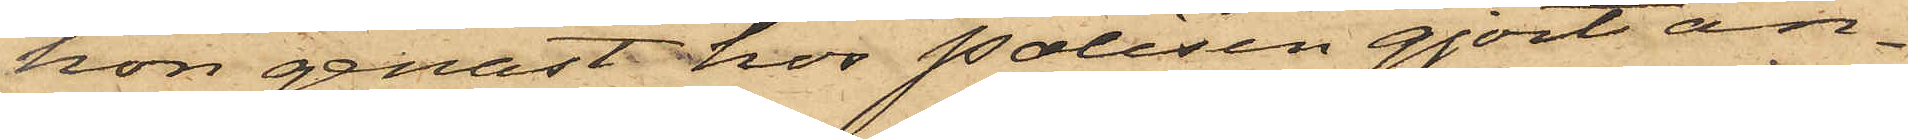hon genast hos Polisen gjort an¬
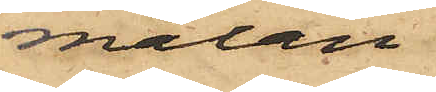mälan.
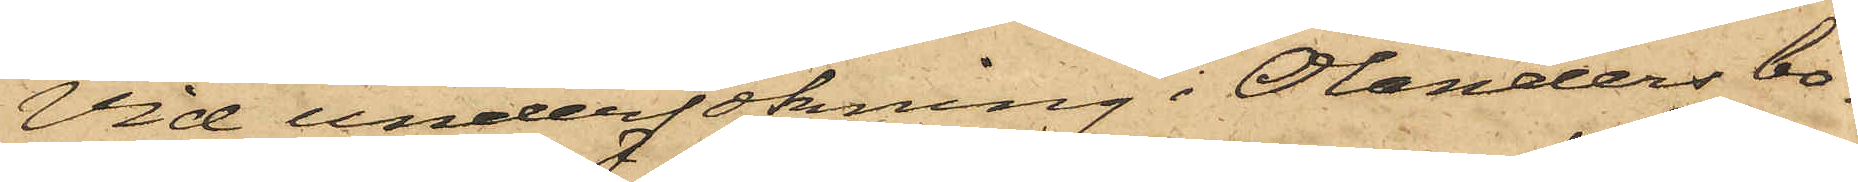Vid undersökning i Olanders bo¬
